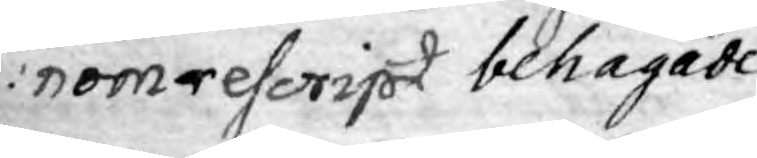nom rescript behagade
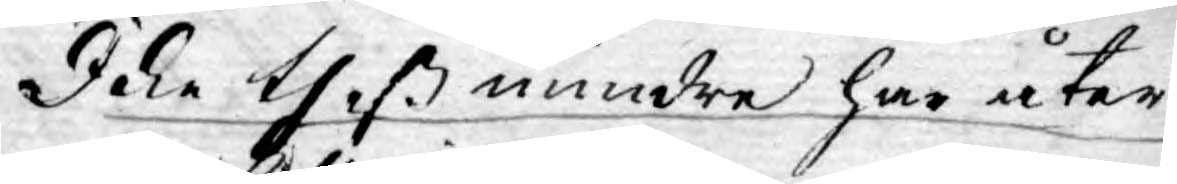Icke theß mindre har åter
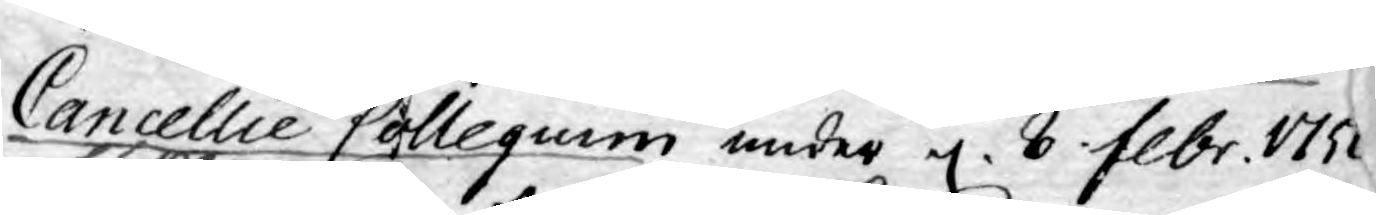Cancellie Collegium under d. 8 Febr. 1751
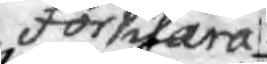förklara
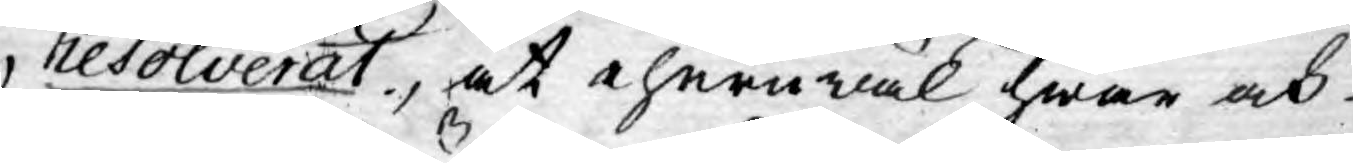resolverat, at ehuruwäl hwar och
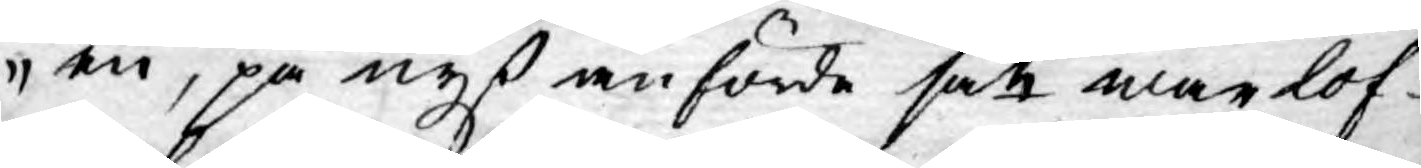en, på nyß anförde sätt war lof¬
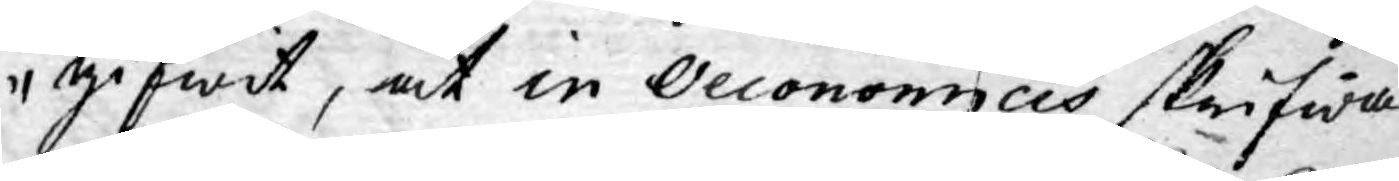gifwit, at in Oeconomicis skrifwa
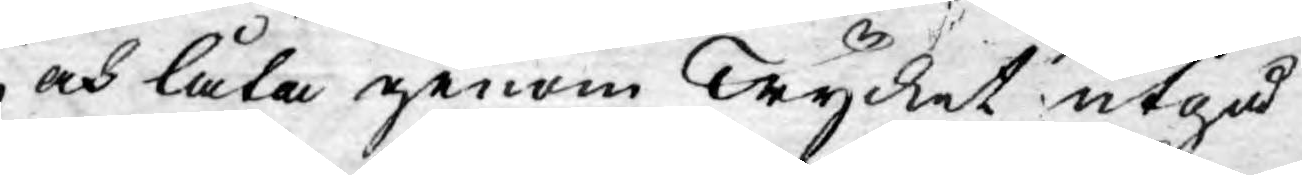och låta genom Trycket utgå
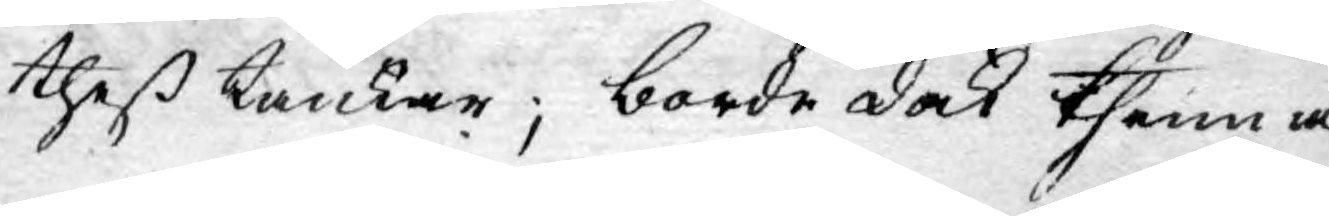theß tankar; borde dock thenna
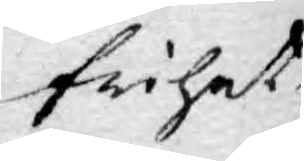frihet
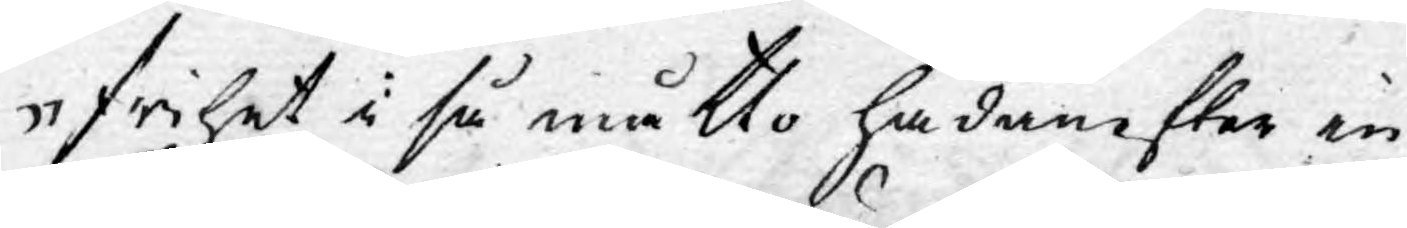frihet i så måtto hädanefter in¬
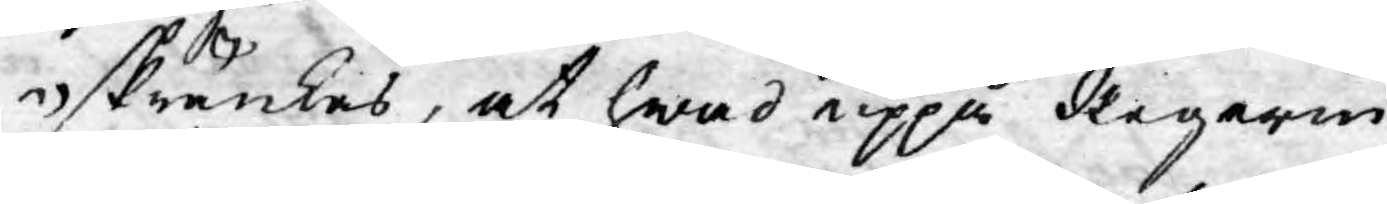skränkas, at hwad uppå Regerin¬
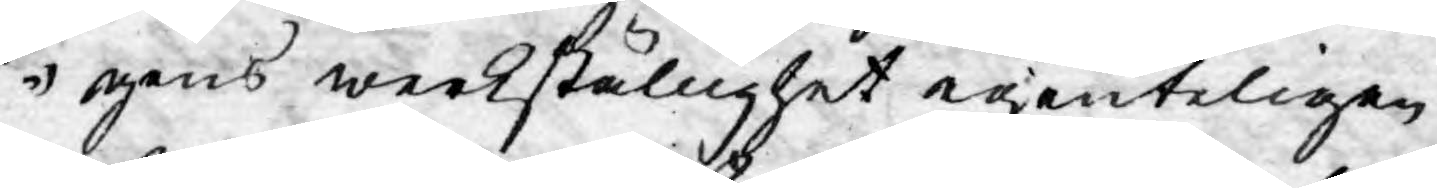gens werkställighet egenteligen
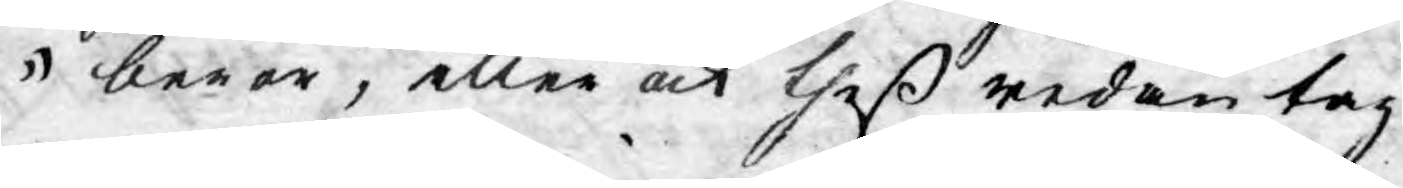beror, eller ock theß redan tag¬
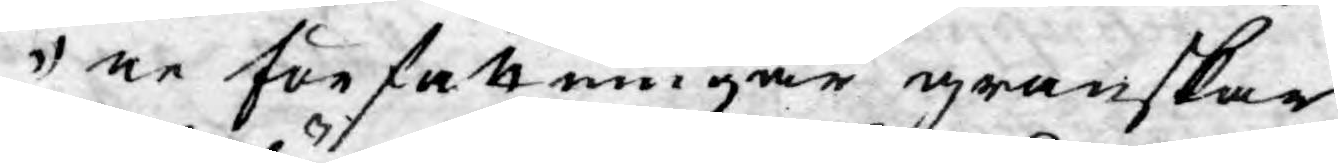ne författningar granskar
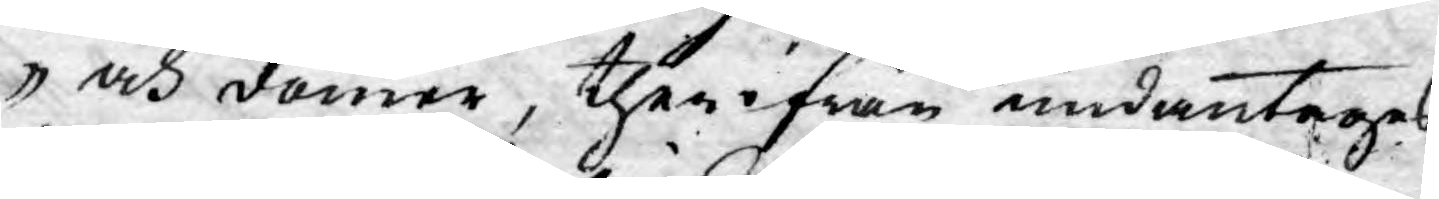och dömer, therifrån undantages.
